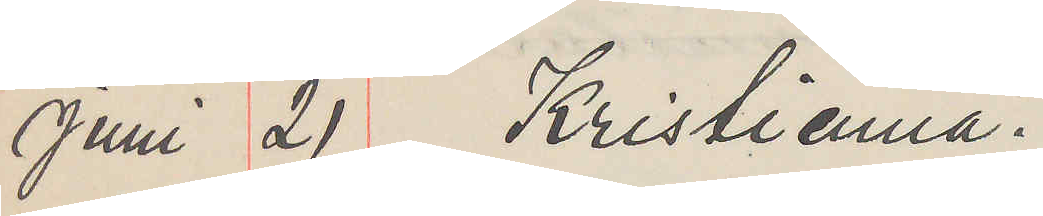Juni 21 Kristiania
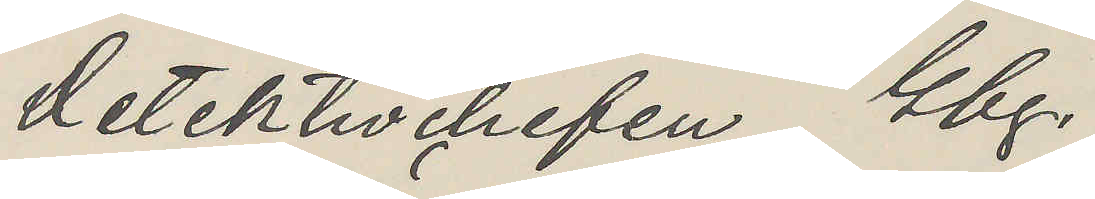Detektivchefen Gbg.
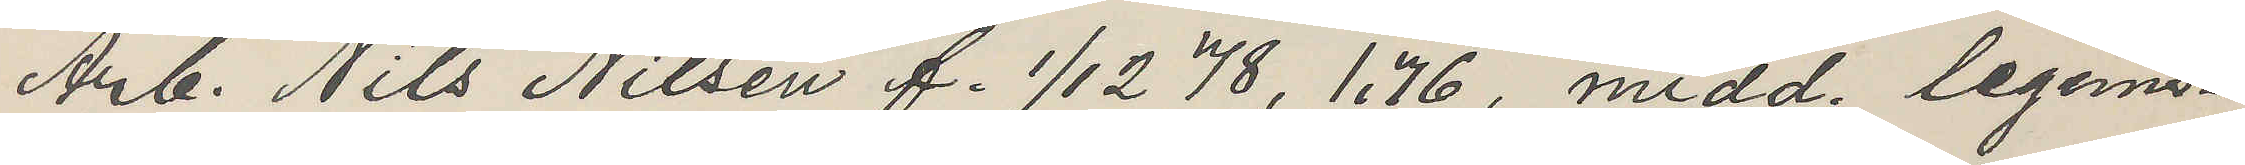Arb. Nils Nilsen f. 1/12 78, 1.76, midd. legens¬
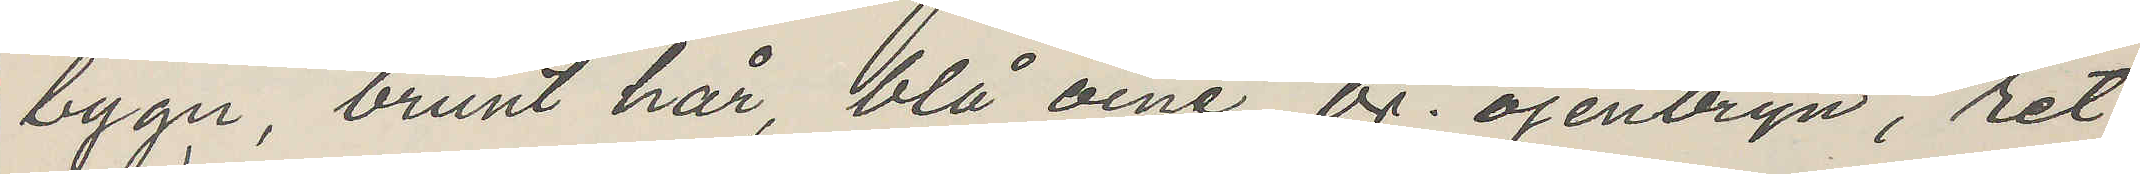bygn, brunt hår, blå öine, br. öjenbryn, ret
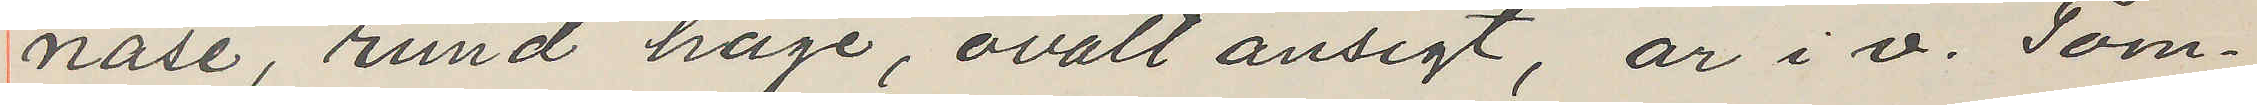näse, rund hage, ovalt ansigt, ar i v. Tom¬
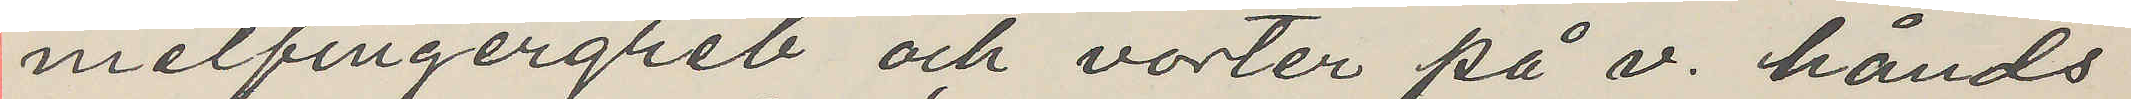melfingergreb och vorter på v. hånds
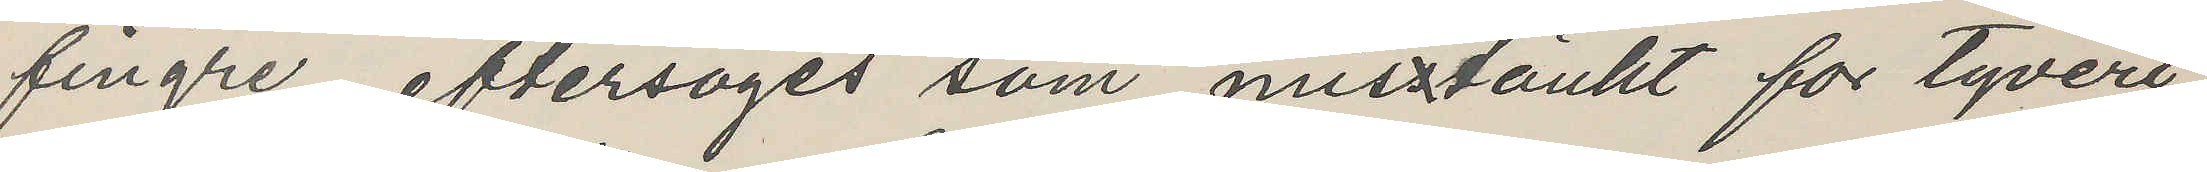fingre, eftersöges som mistänkt for tyveri
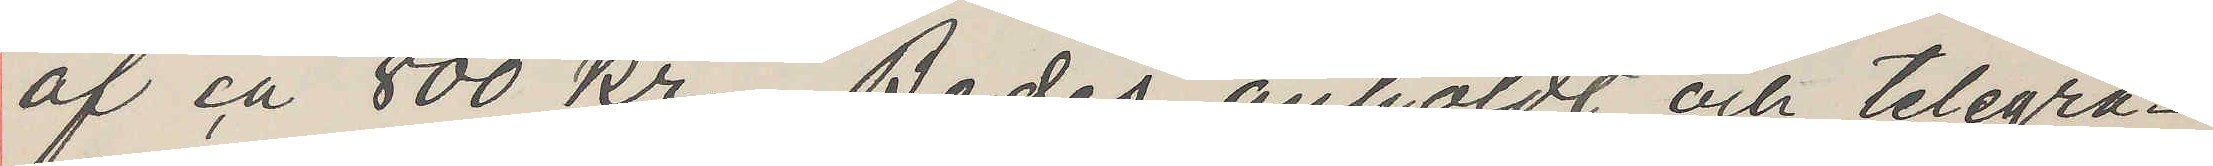af ca 800 Kr. Bedes anholdt och telegra¬
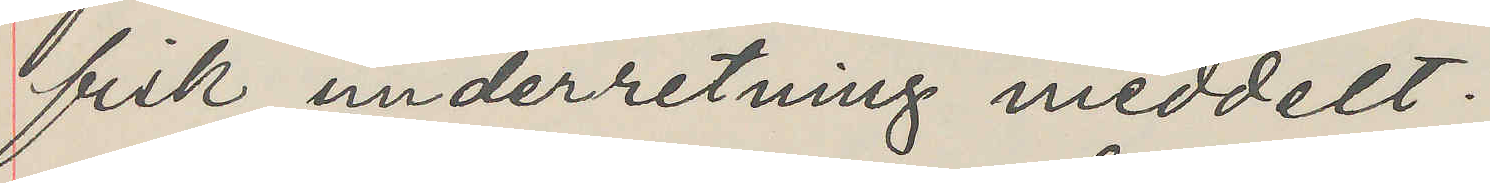fisk underretning meddelt.
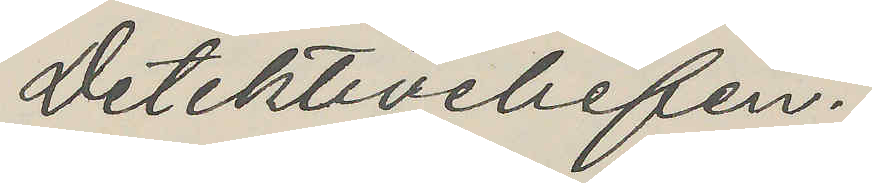Detektivchefen.
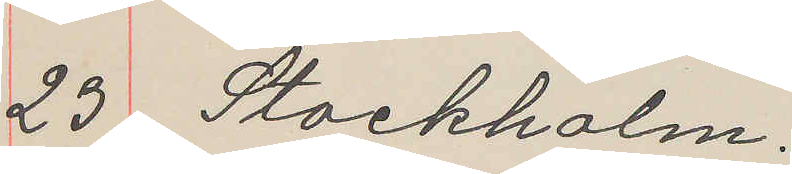23 Stockholm.
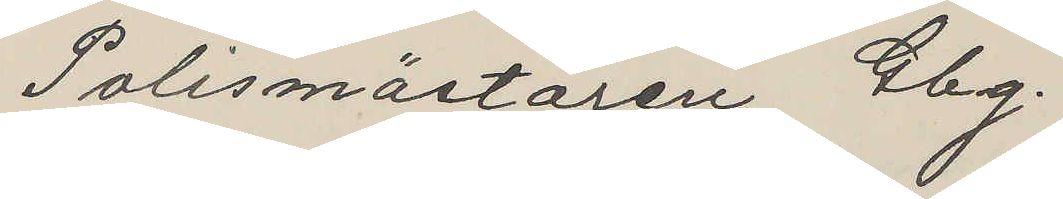Polismästaren Gbg.
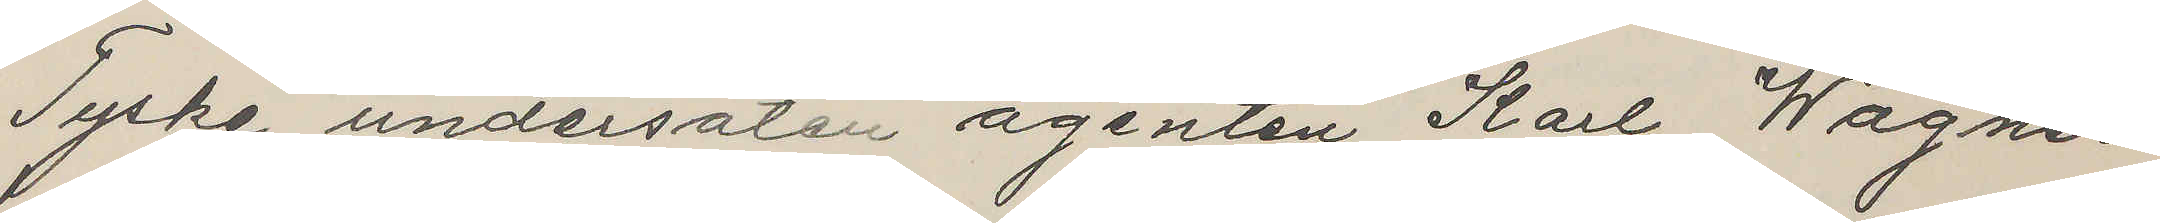Tyske undersåten agenten Karl Wagner
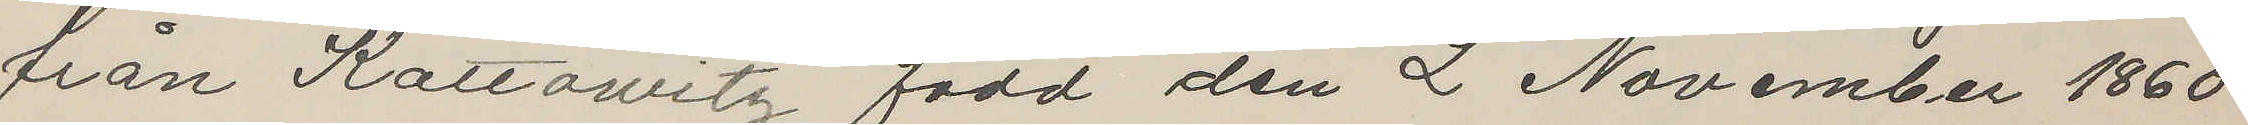från Kattowitz, född den 2 November 1860
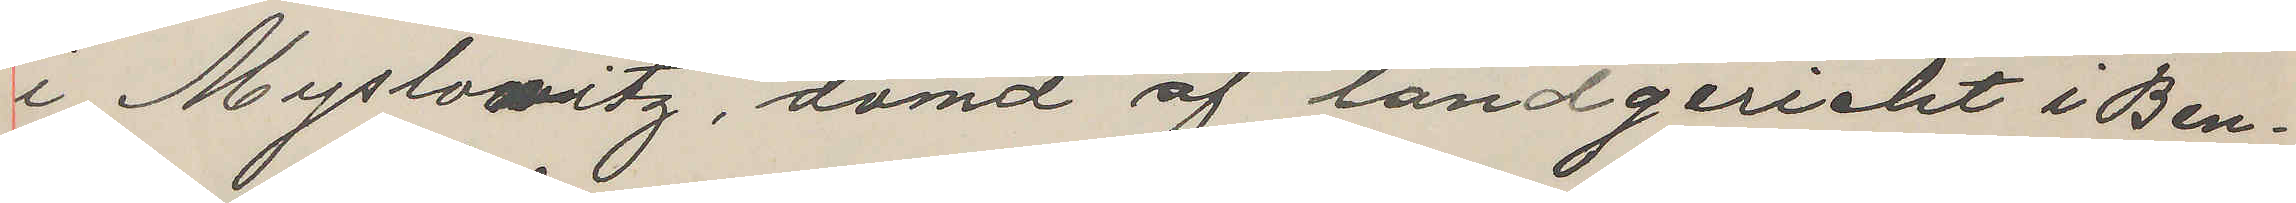i Myslowitz, dömd af landgeriecht i Ben¬
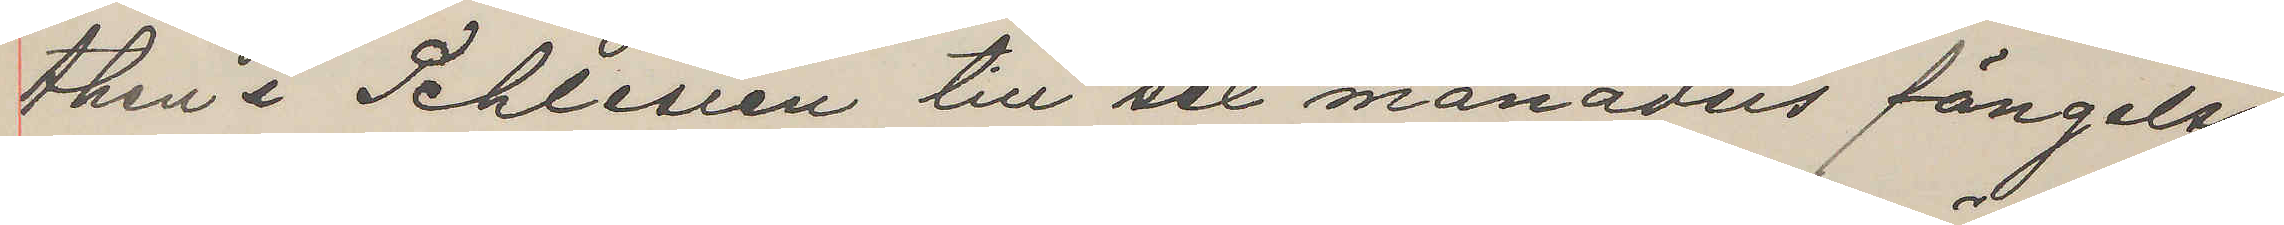then i Schlesien till sex månaders fängelse
